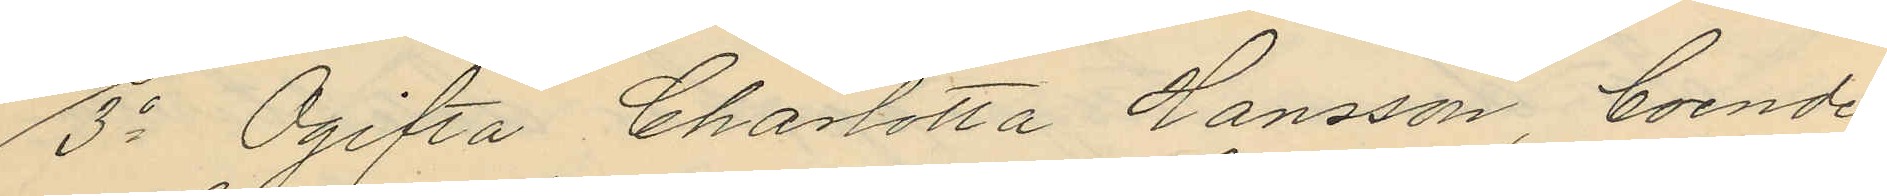3o Ogifta Charlotta Hansson, boende
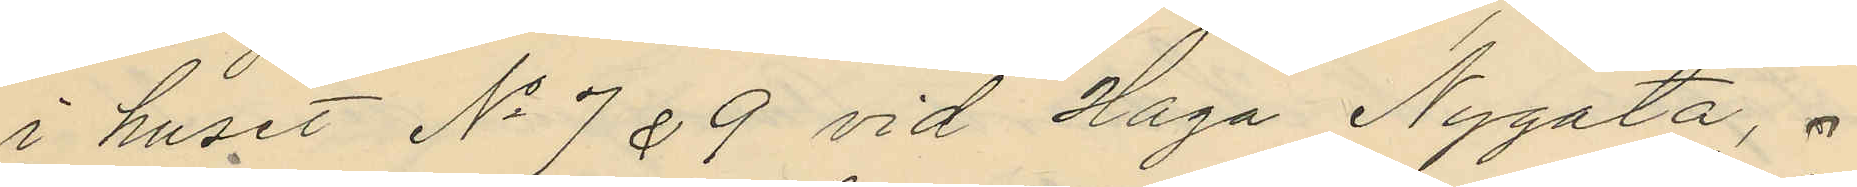i huset No 7 & 9 vid Haga Nygata,
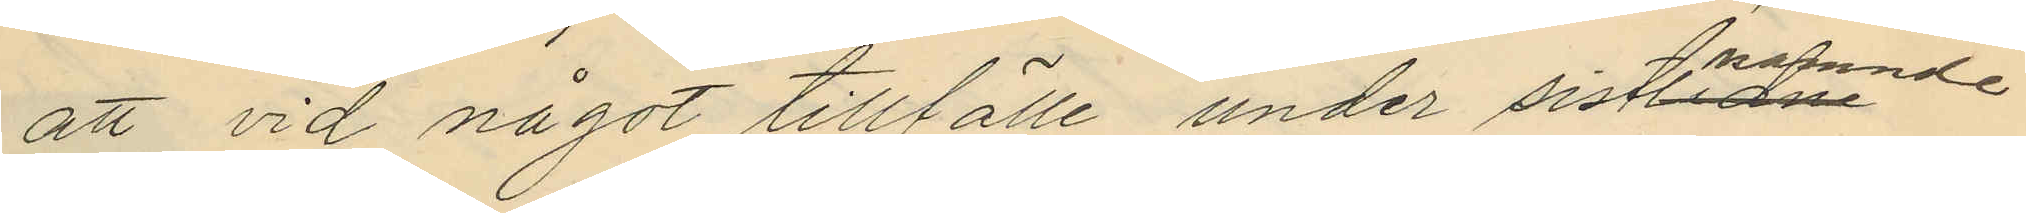att vid något tillfälle under sistnämnde
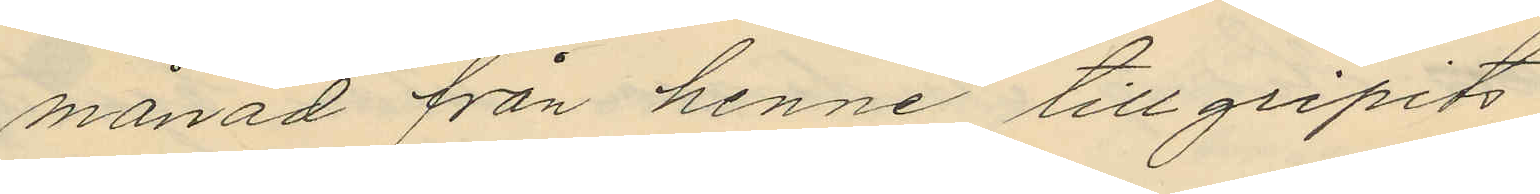månad från henne tillgripits
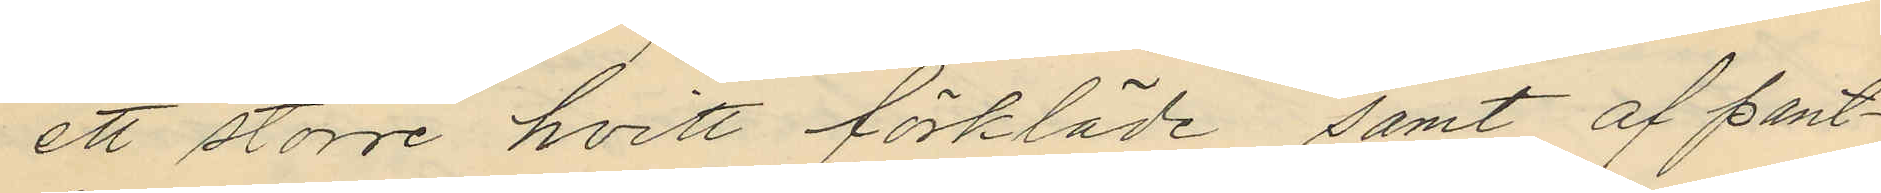ett större hvitt förkläde samt af pant¬
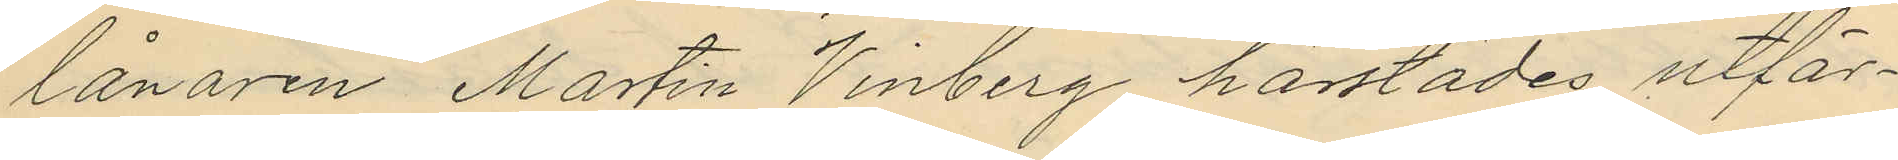lånaren Martin Vinberg härstädes utfär¬
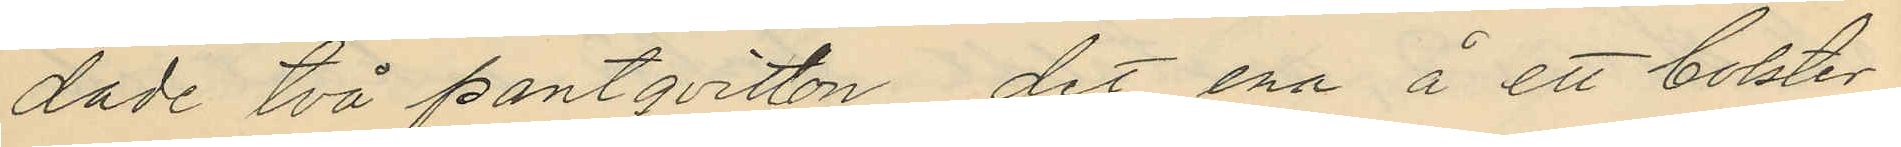dade två pantqvitton, det ena å ett bolster
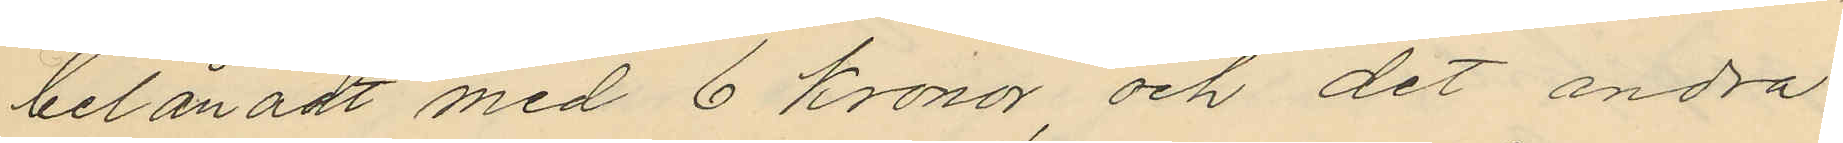belånadt med 6 Kronor, och det andra
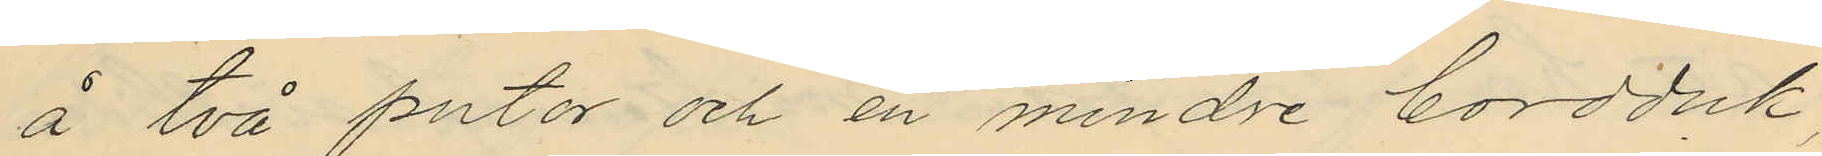å två putor och en mindre bordduk,
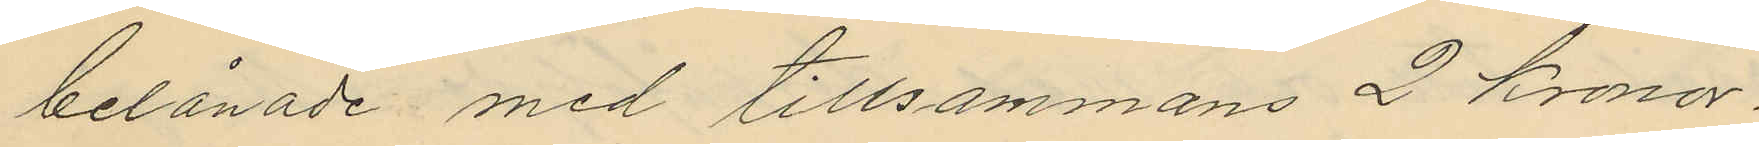belånade med tillsammans 2 kronor,
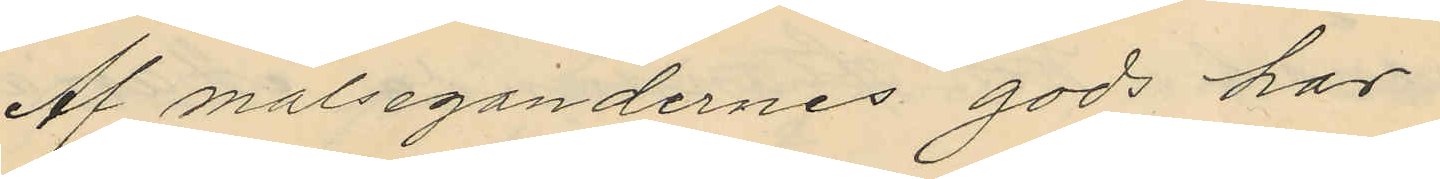Af målsegandernes gods har
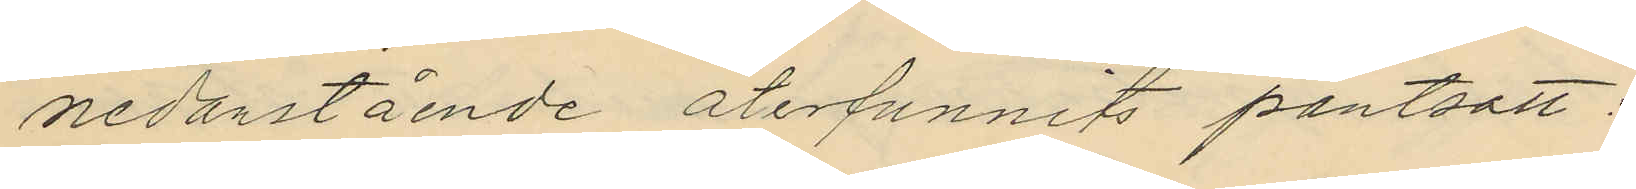nedanstående återfunnits pantsatt:
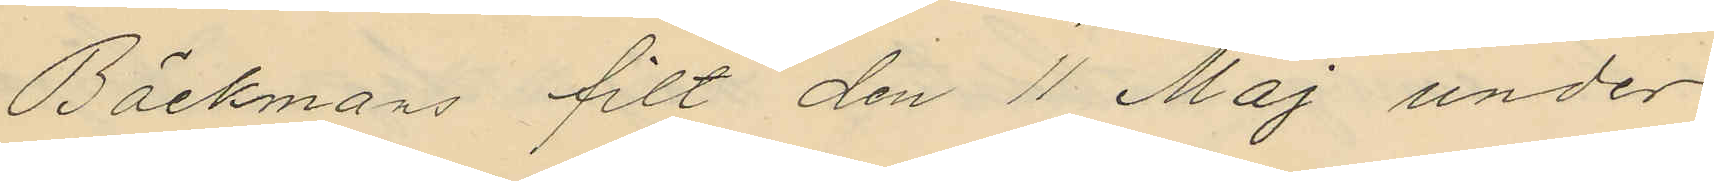Bäckmans filt den 11 Maj under
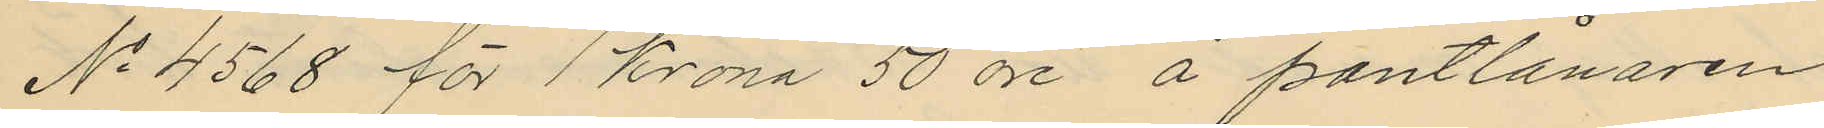No 4568 för 1 krona 50 öre å pantlånaren
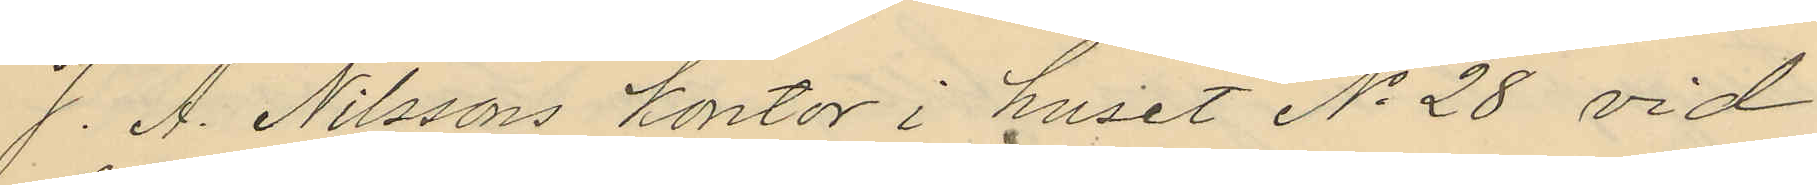J. A. Nilssons kontor i huset No 28 vid
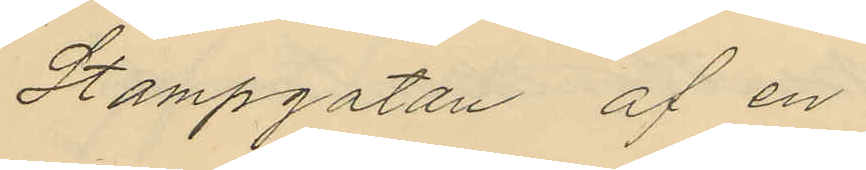Stampgatan af en
